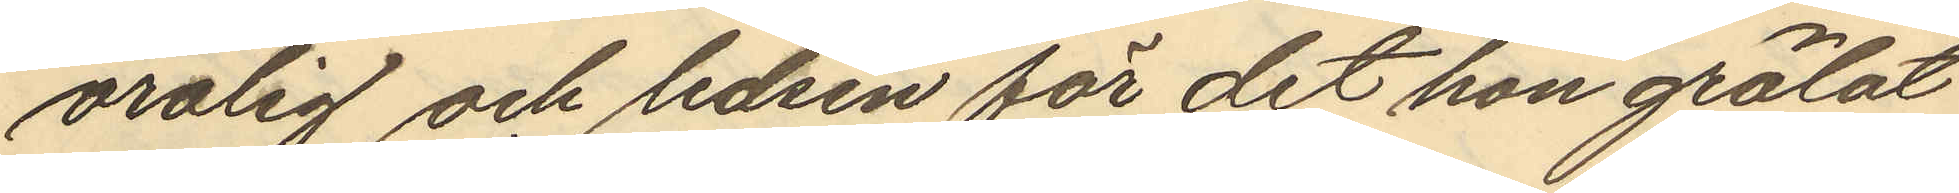orolig och ledsen för det hon grälat
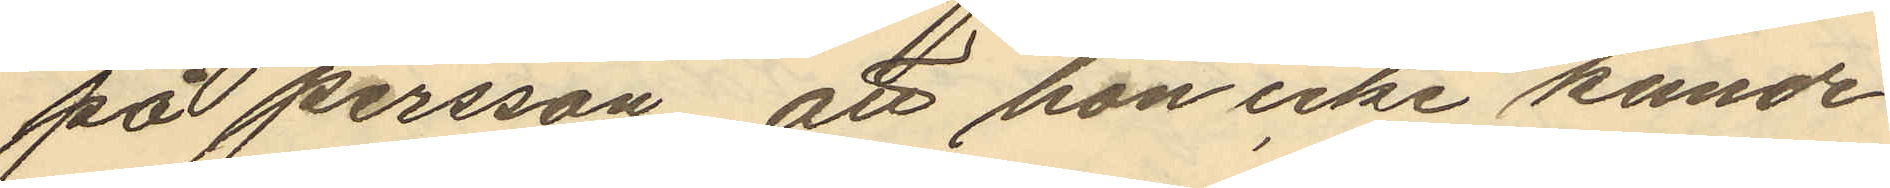på Persson, att hon icke kunde
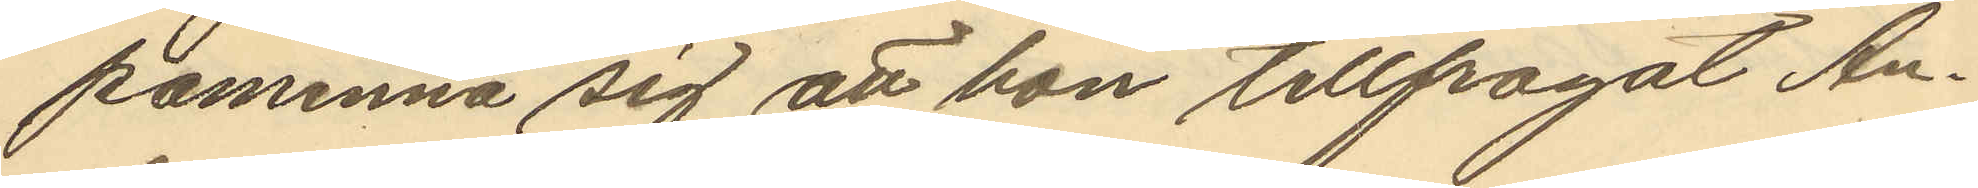paminna sig att hon tillfrågat An¬
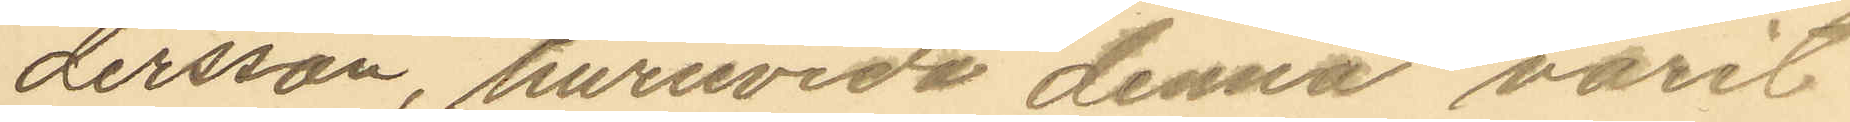dersson, huruvida denna varit
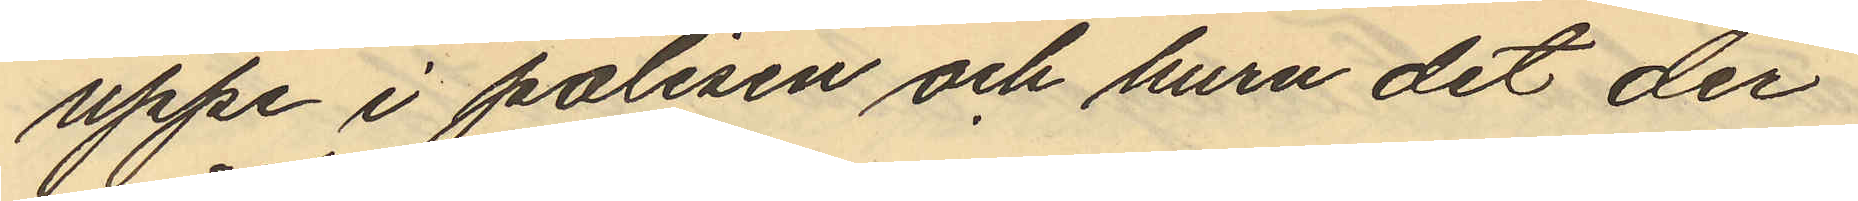uppe i polisen och huru det der
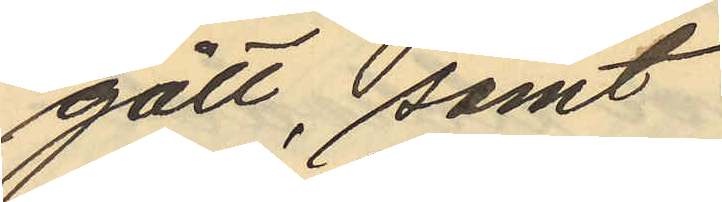gått, samt
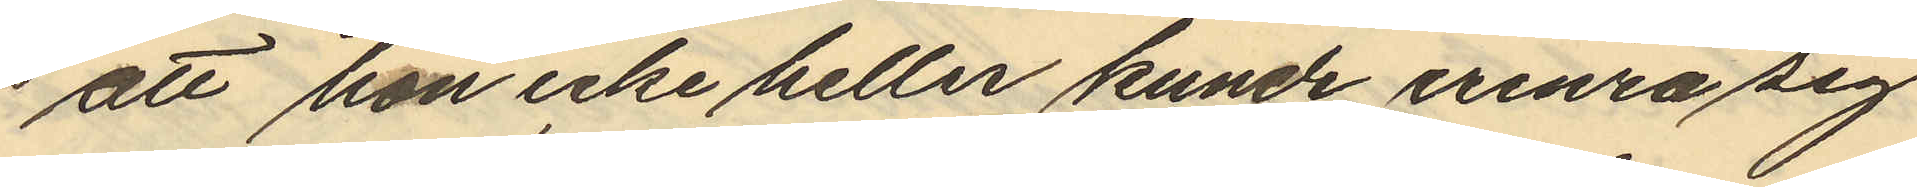att hon icke heller kunde erinra sig
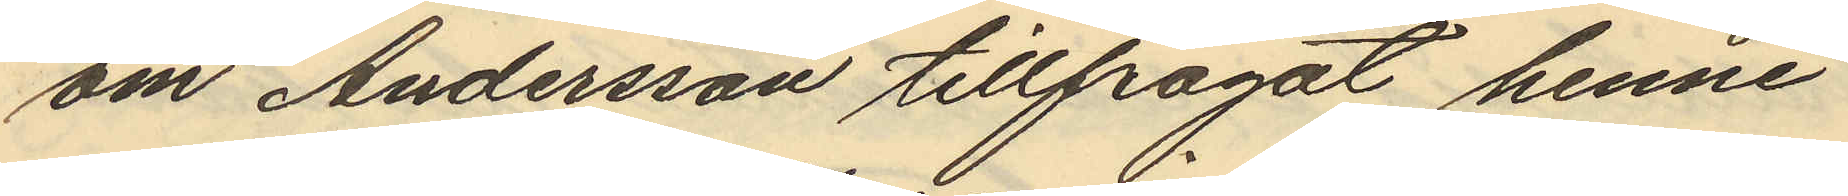om Andersson tillfrågat henne
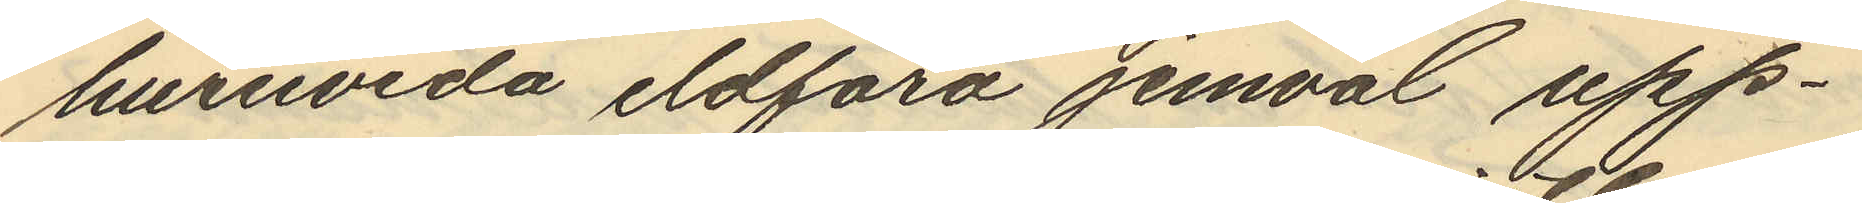huruvida eldfara jemväl upp¬
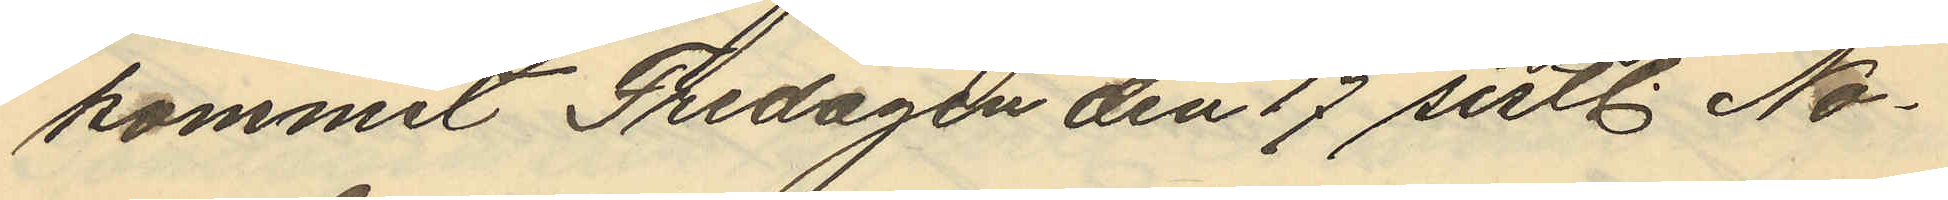kommit Fredagen den 17 sistl. No¬
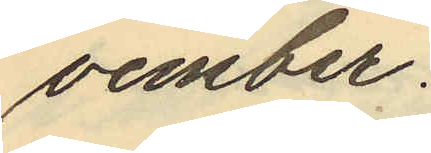vember.
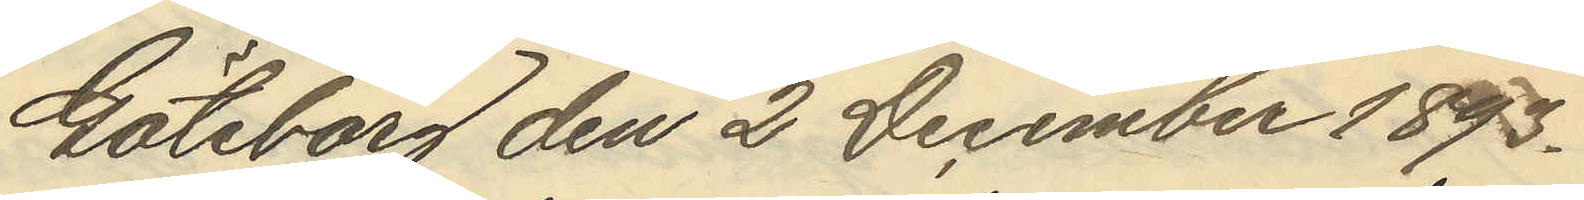Göteborg den 2 December 1893.
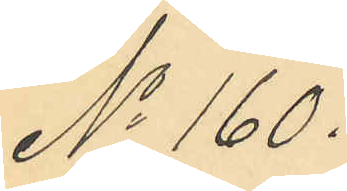No 160.
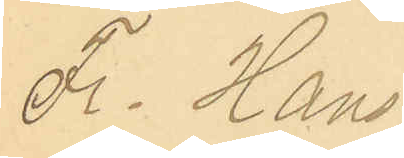Fr. Hans¬
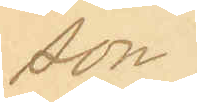son.
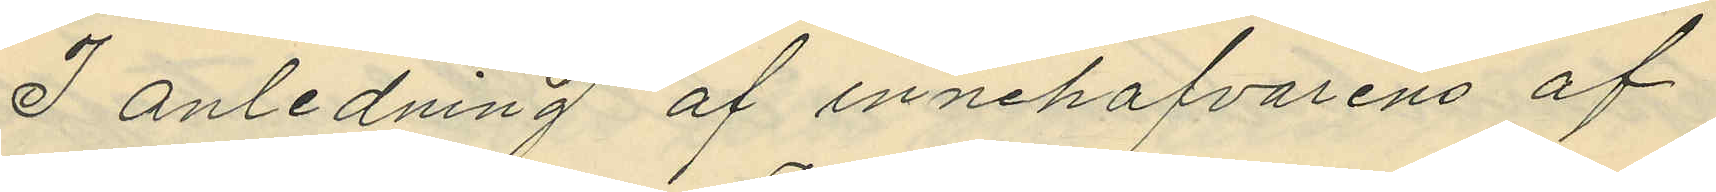I anledning af innehafvarens af
